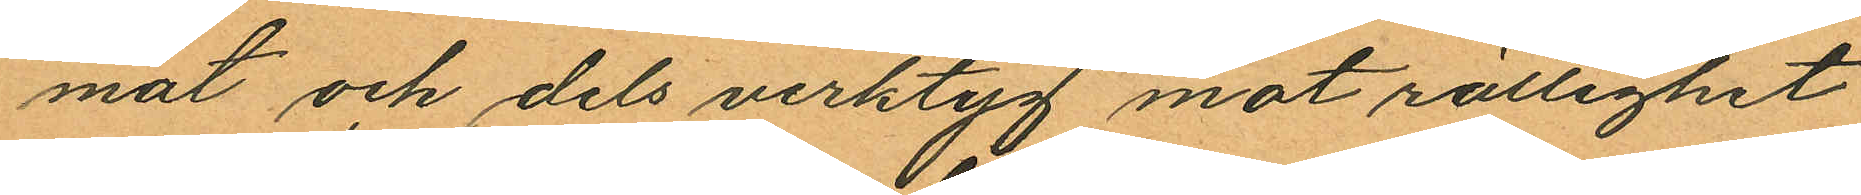mat och dels verktyg mot rättighet
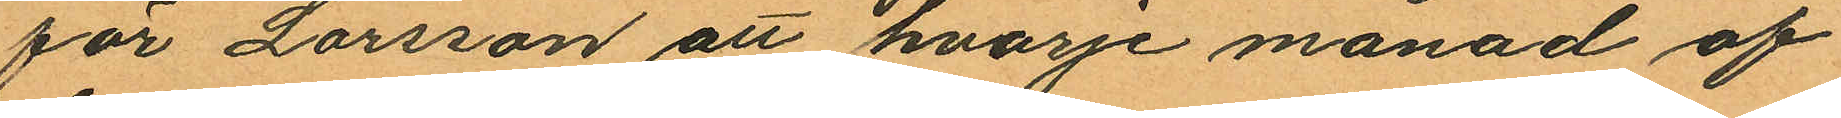för Larsson att hvarje månad af
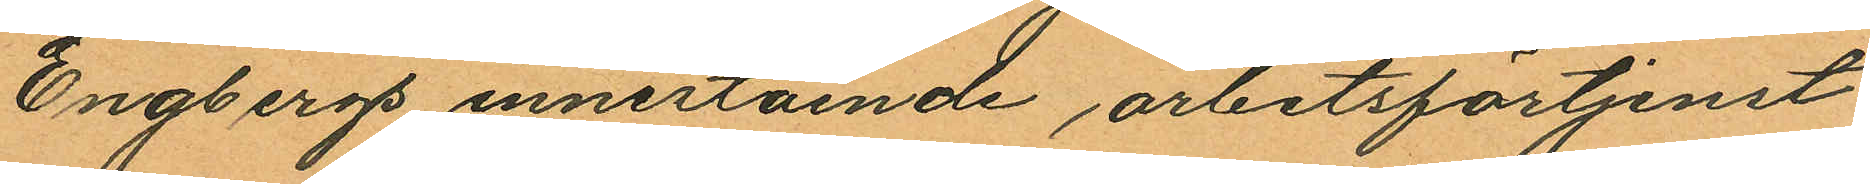Engbergs innestående arbetsförtjenst
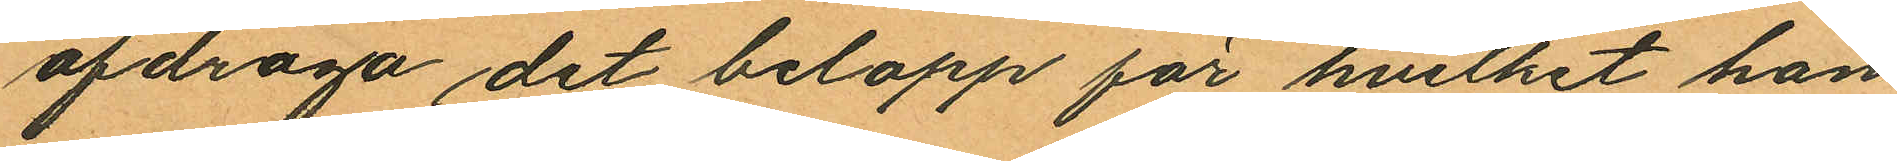afdraga det belopp för hvilket han
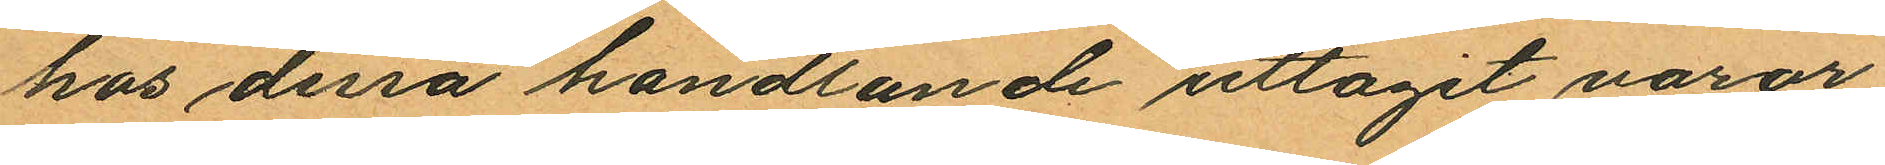hos dessa handlande uttagit varor;
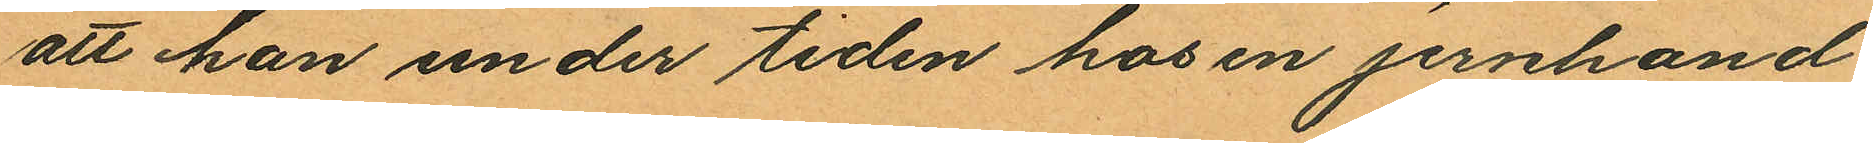att han under tiden hos en jernhand¬
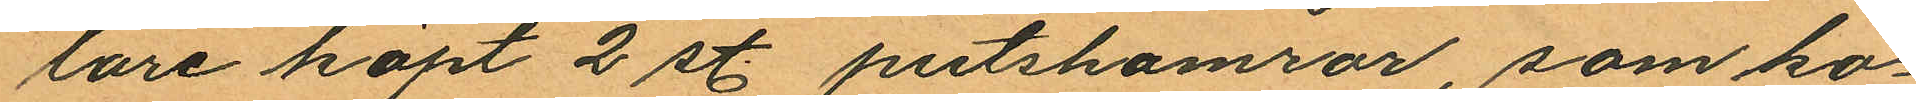lare köpt 2 st. putshamrar, som ko¬
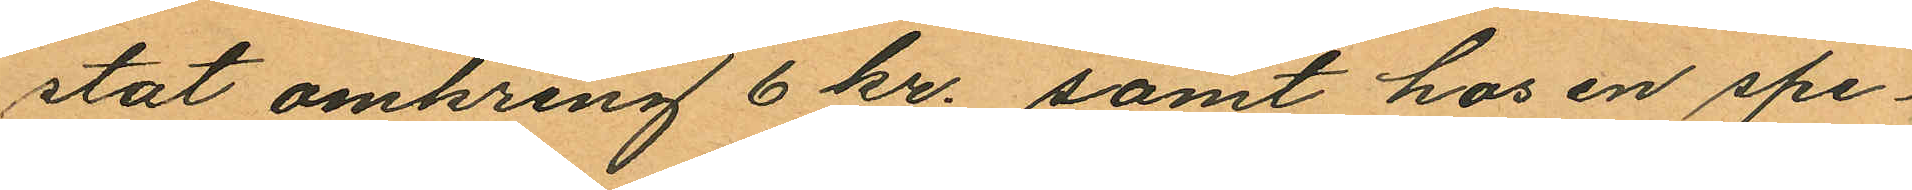stat omkring 6 kr. samt hos en spe¬
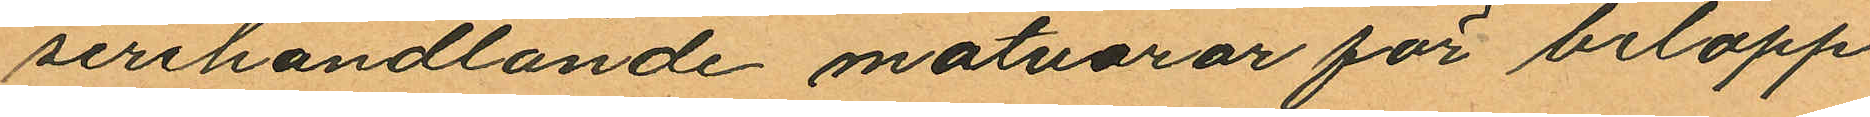serihandlande matvaror för belopp
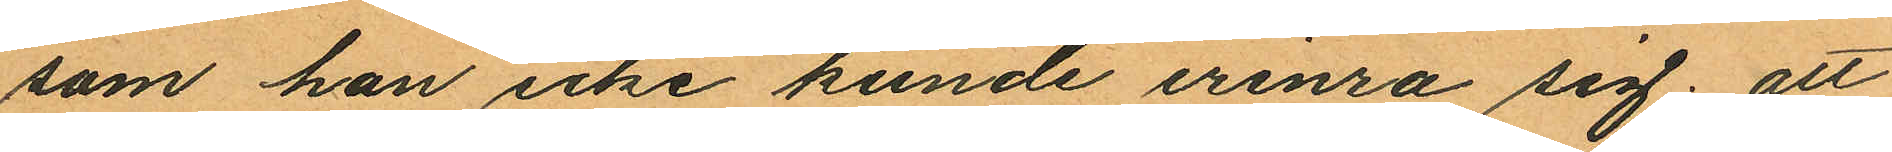som han icke kunde erinra sig; att
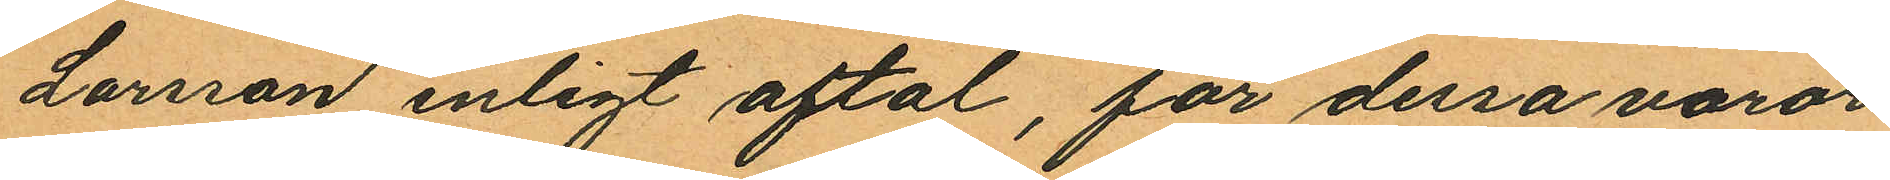Larson enligt aftal, för dessa varor
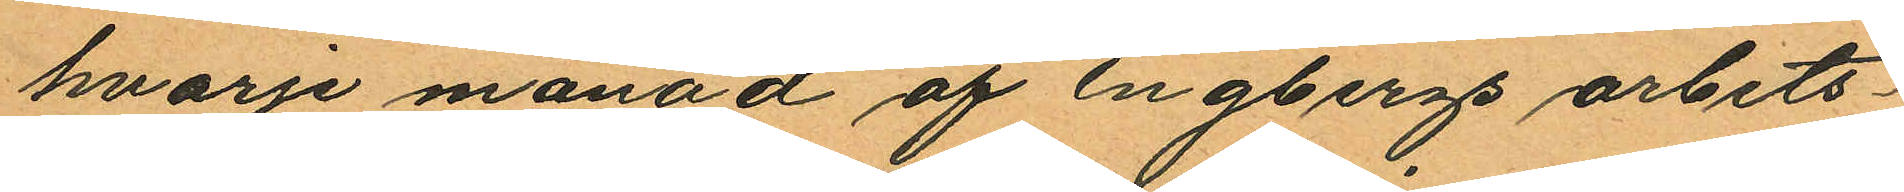hvarje månad af Engbergs arbets¬
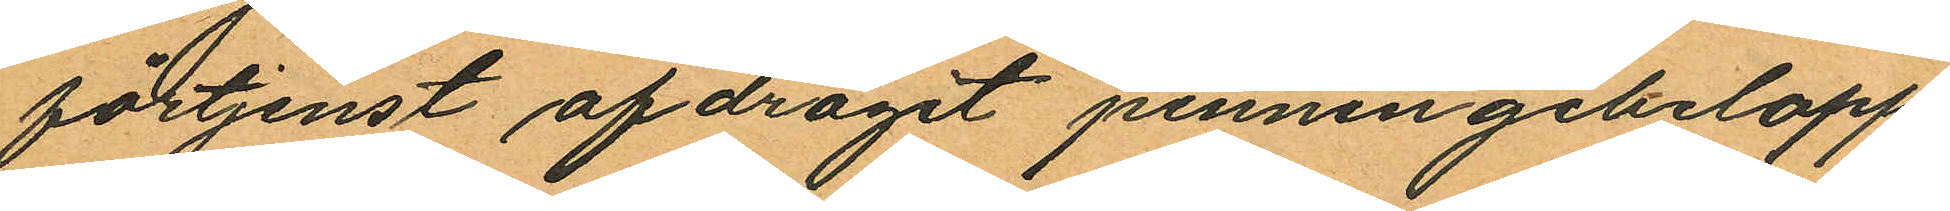förtjenst afdragit penningebelopp
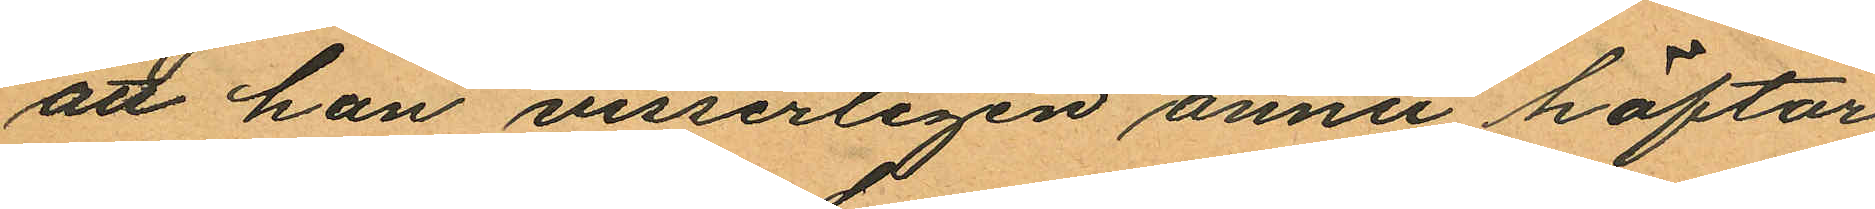att han visserligen ännu häftar
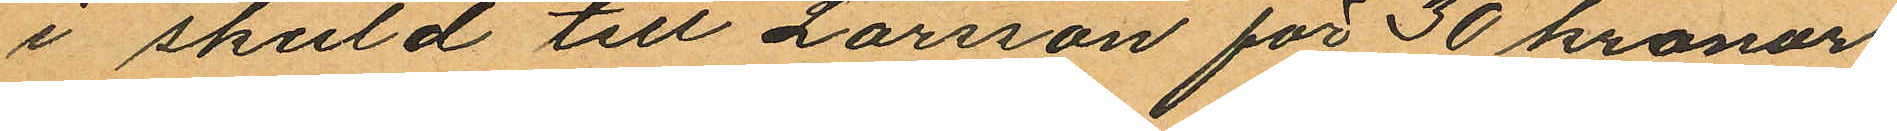i skuld till Larsson för 30 kronor;
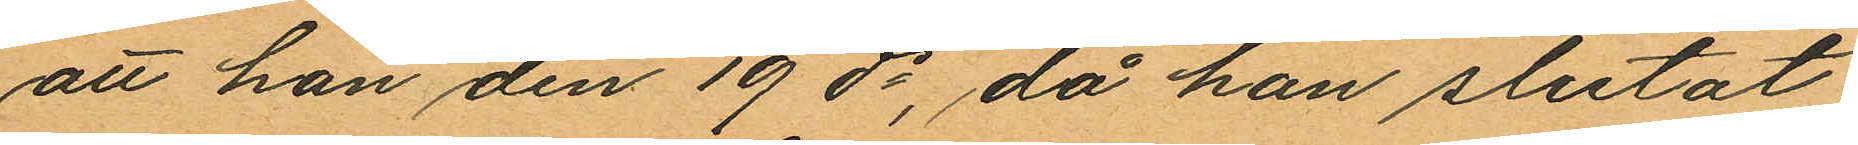att han den 19 ds, då han slutat
